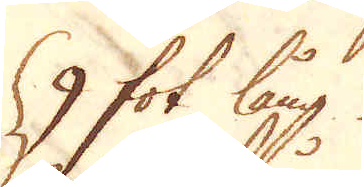9 fot lång
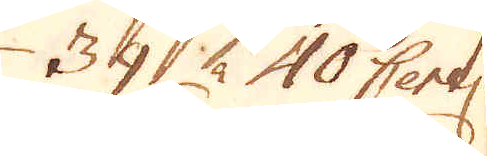39 à 40 Centner
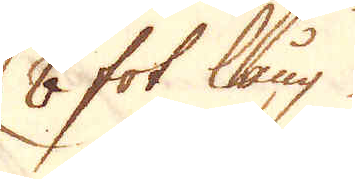8 fot lång
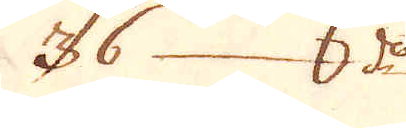36 d:o
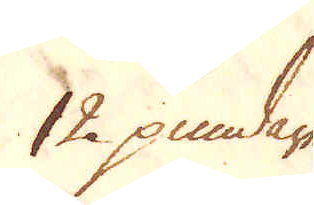12 pundare
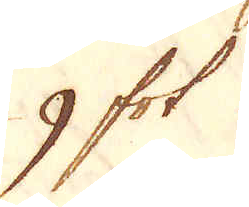9 fot
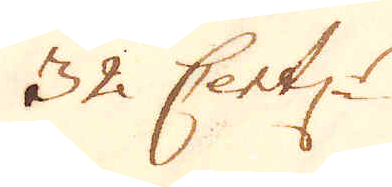32. Centner.
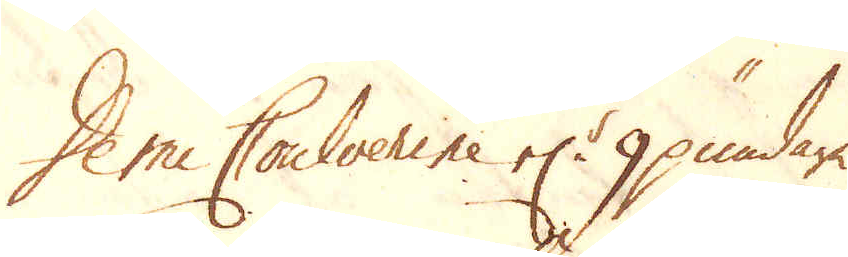Demi Coulverine el:r 9 pundare
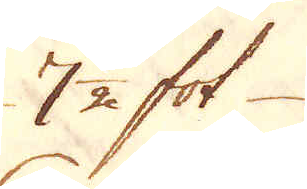7 1/2 fot
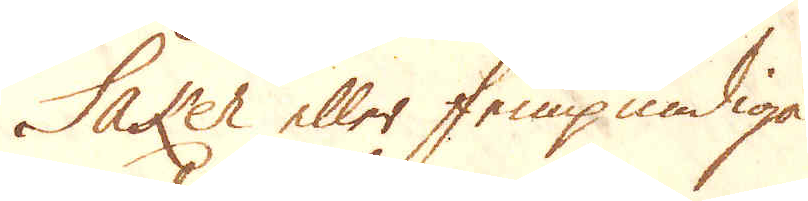Saker eller fempundiga
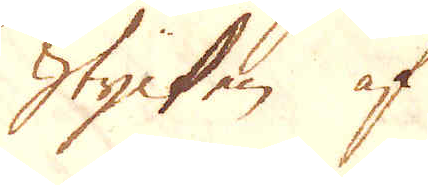Stycken af
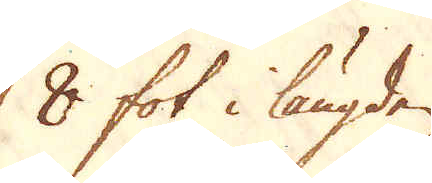8 fot i längden
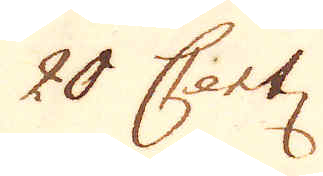20 Sart:
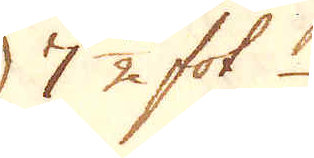7 1/2 fot 
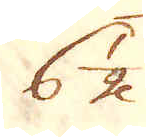6 1/2
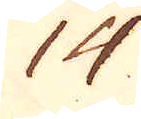14
